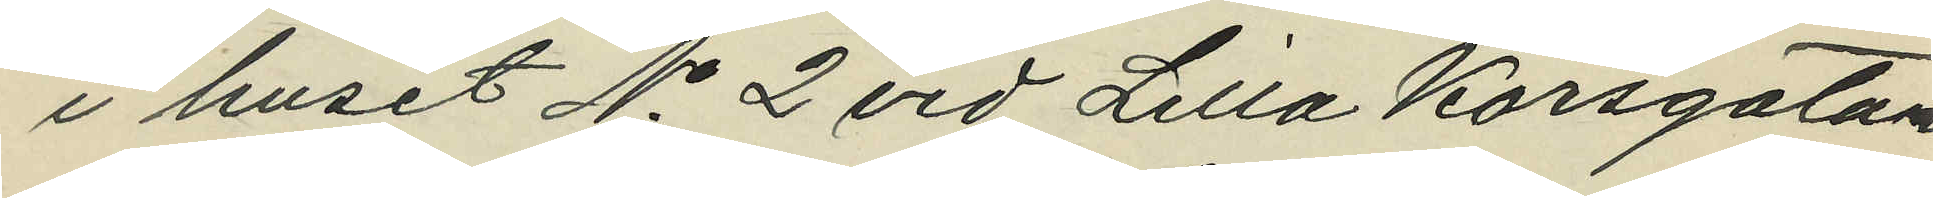i huset No 2 vid Lilla Korsgatan
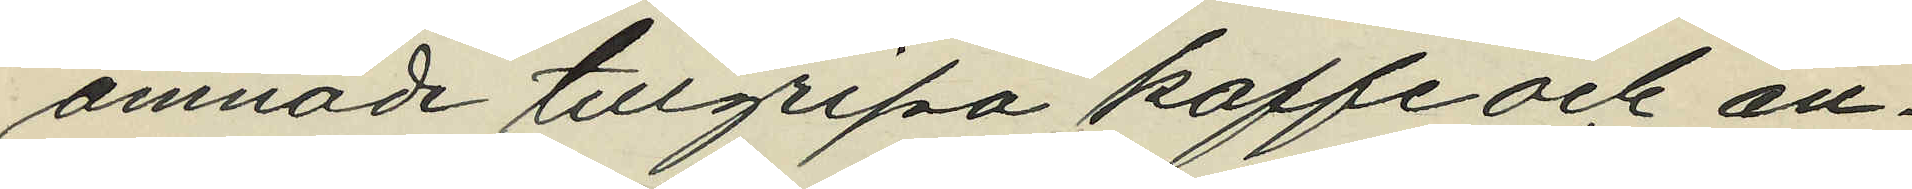amnade tillgripa kaffe och an¬
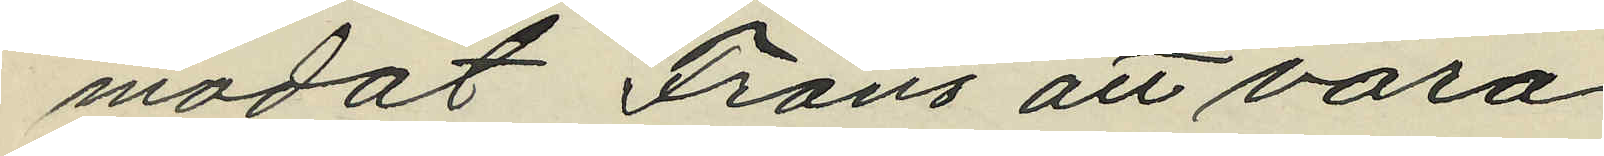modat Frans att vara
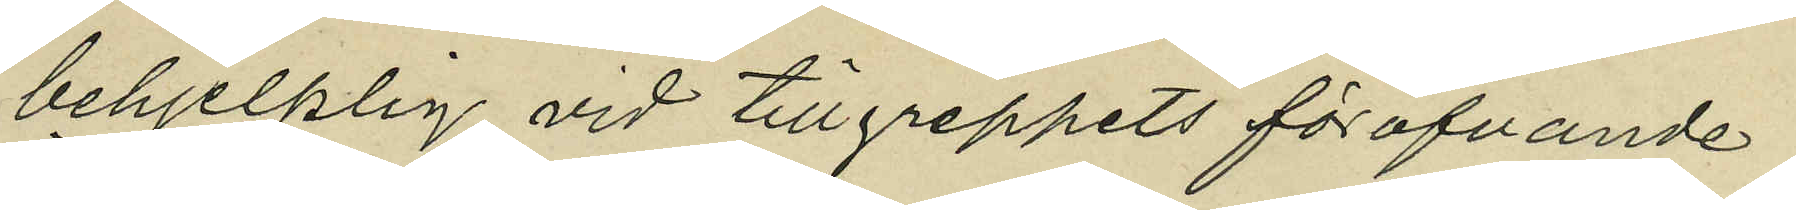behjelplig vid tillgreppets föröfvande,
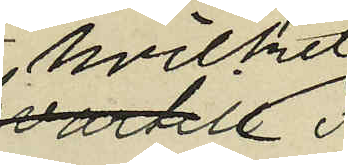hvilket
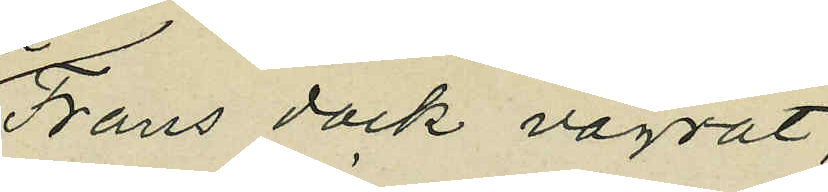Frans dock vägrat;
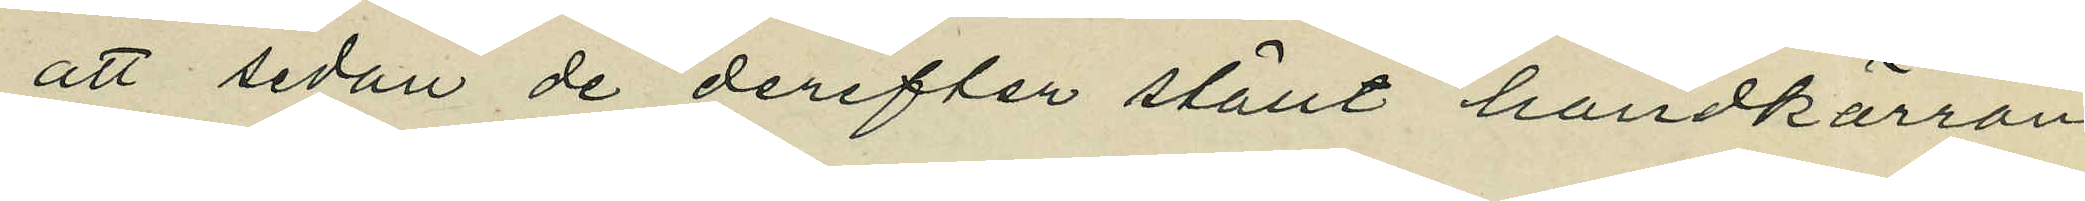att sedan de derefter ställt handkärran
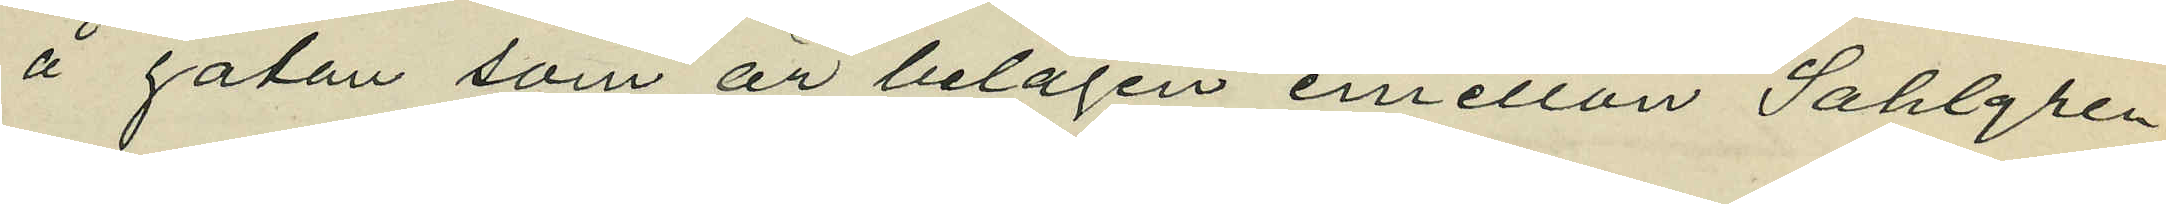å gatan som är belägen emellan Sahlgren¬
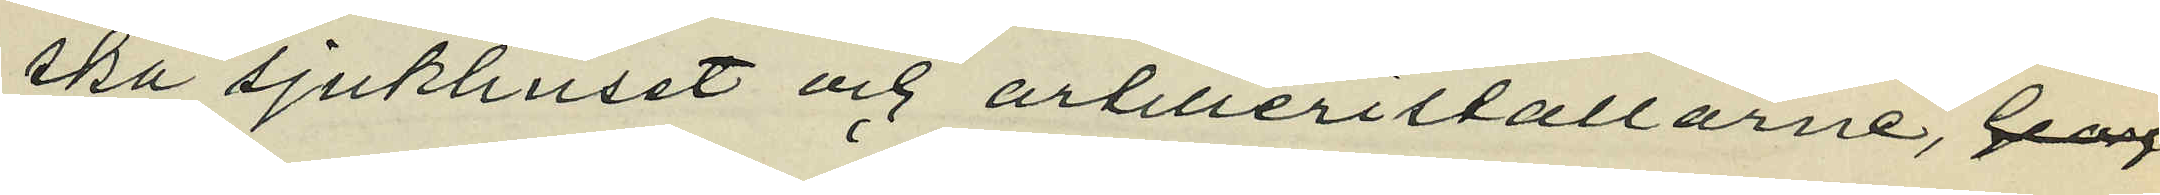ska sjukhuset och artilleristallarne, Georg
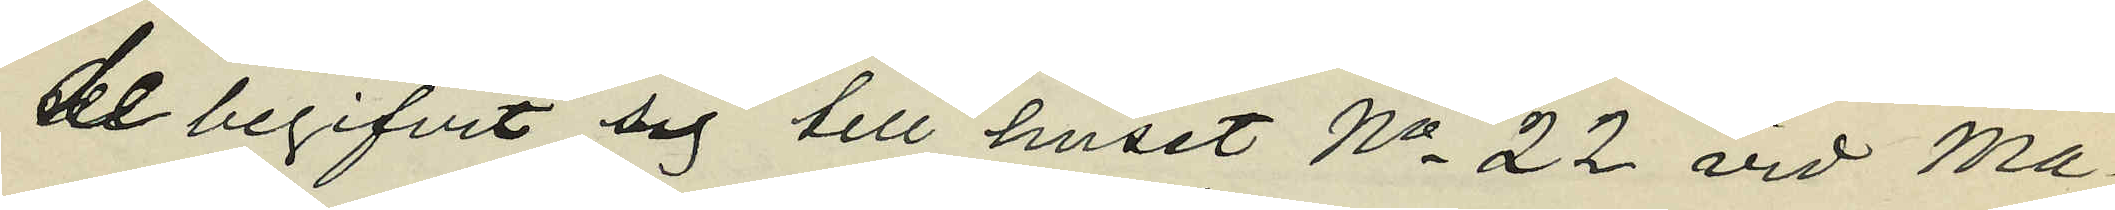de begifvit sig till huset No 22 vid Ma¬
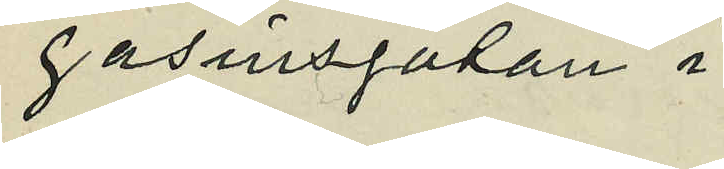gasinsgatan i
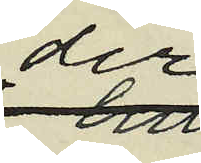der
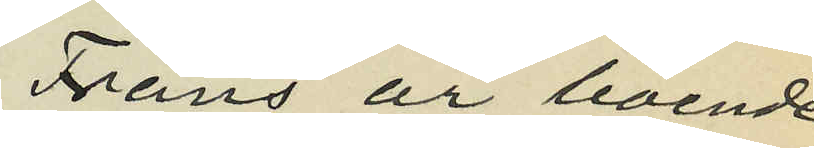Frans är boende;
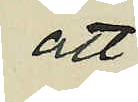att
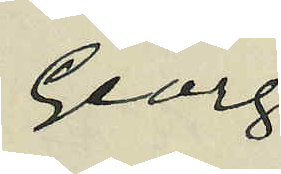Georg
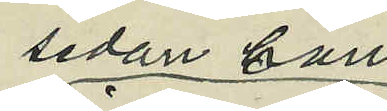sedan han
